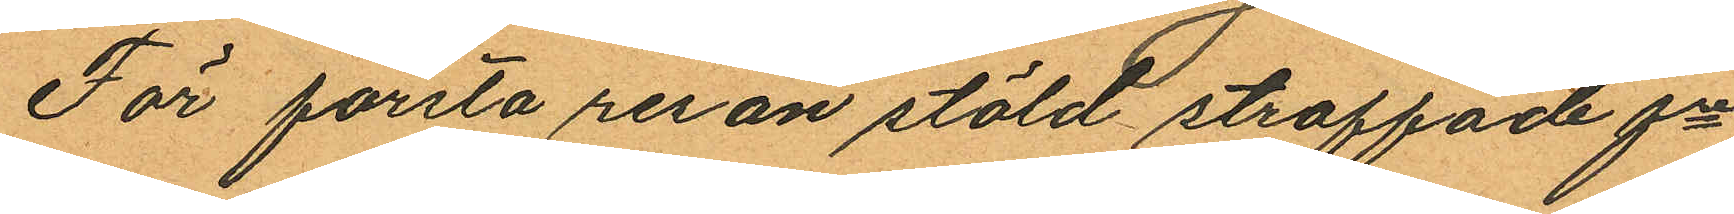För första resan stöld straffade fre
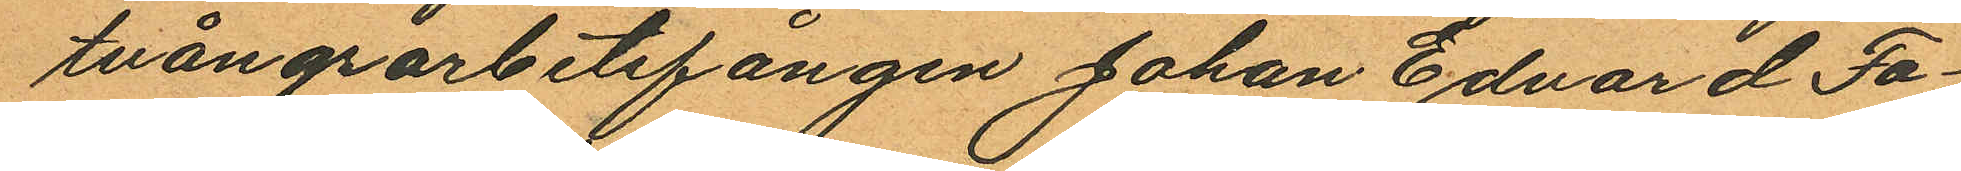tvångsarbetsfången Johan Edvard Fa¬
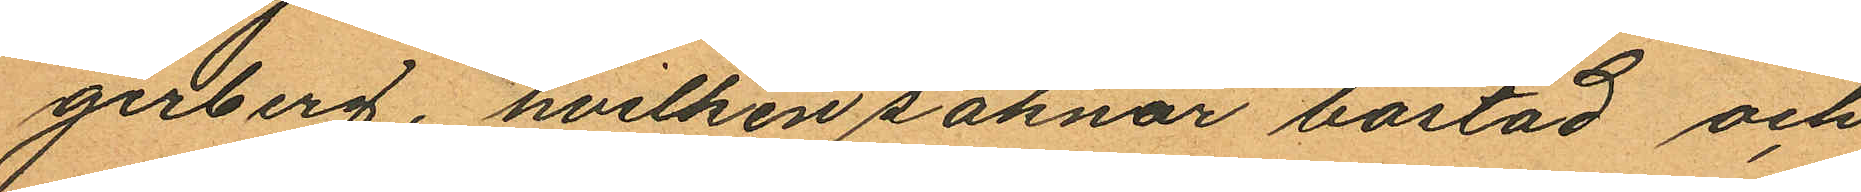gerberg, hvilken saknar bostad och
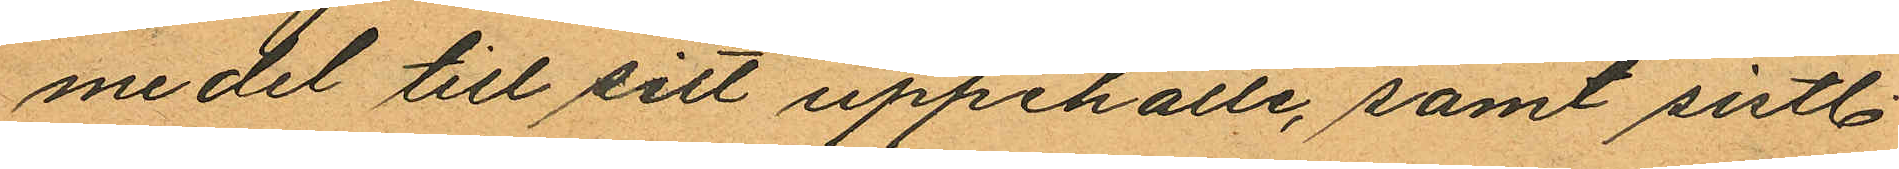medel till sitt uppehälle, samt sistl.
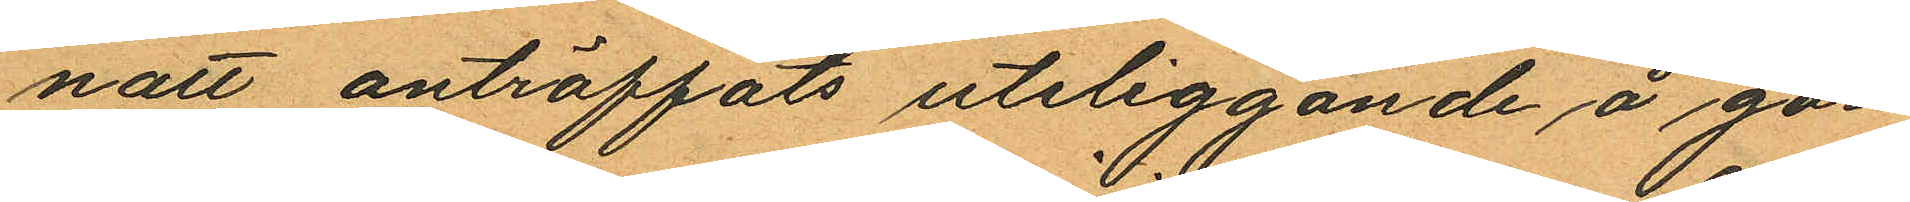natt anträffats uteliggande å går¬
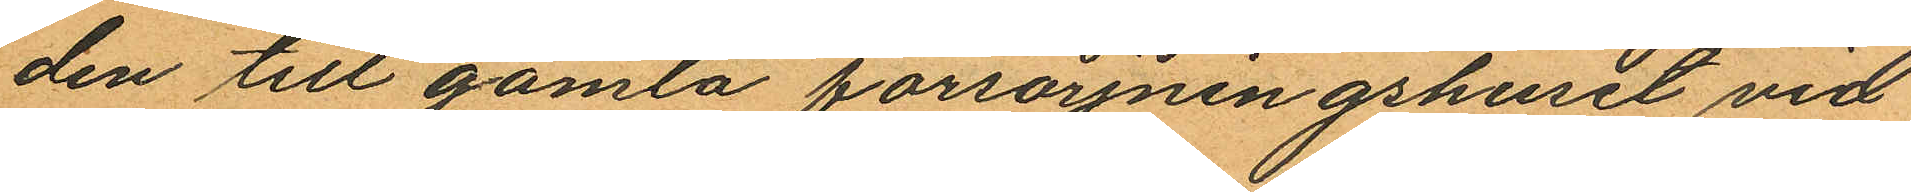den till gamla försörjningshuset vid
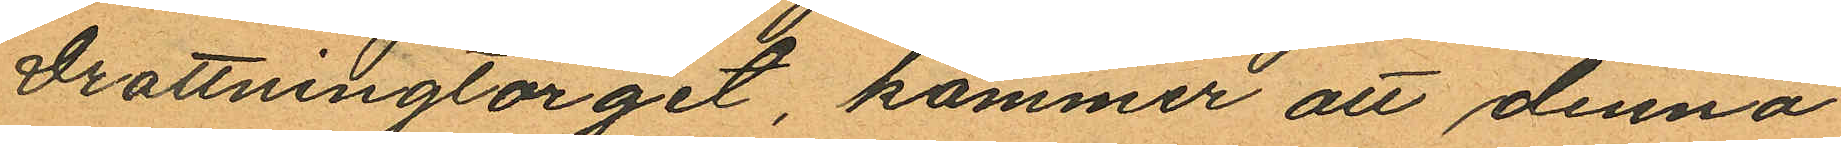Drottningtorget, kommer att denna
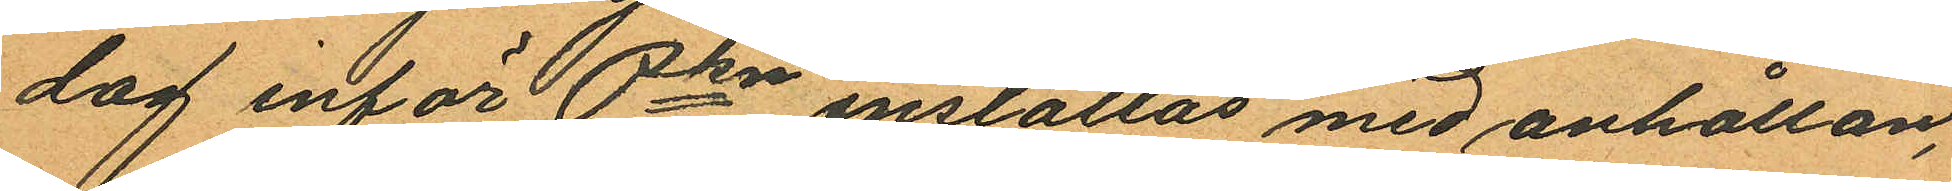dag inför Pkn inställas med anhållan
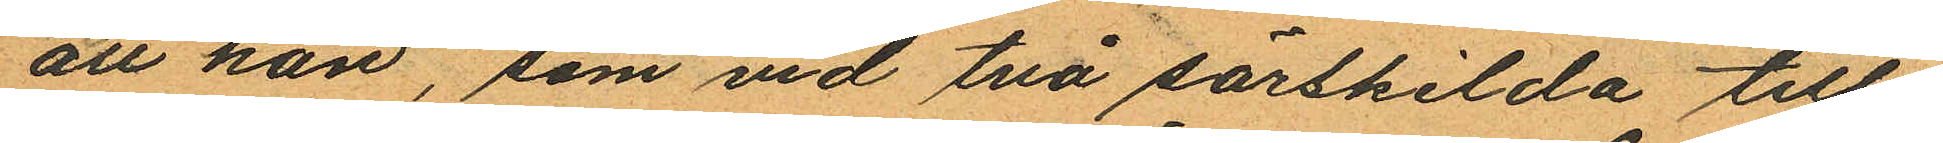att han, som vid två särskilda till¬
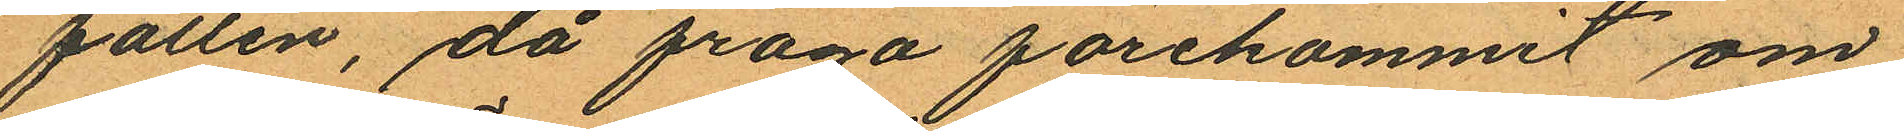fällen, då fråga förekommit om
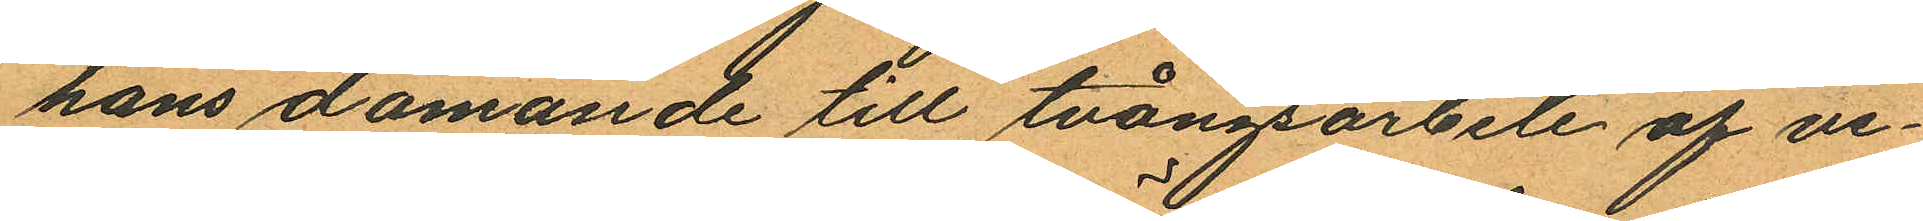hans dömande till tvångsarbete af ve¬
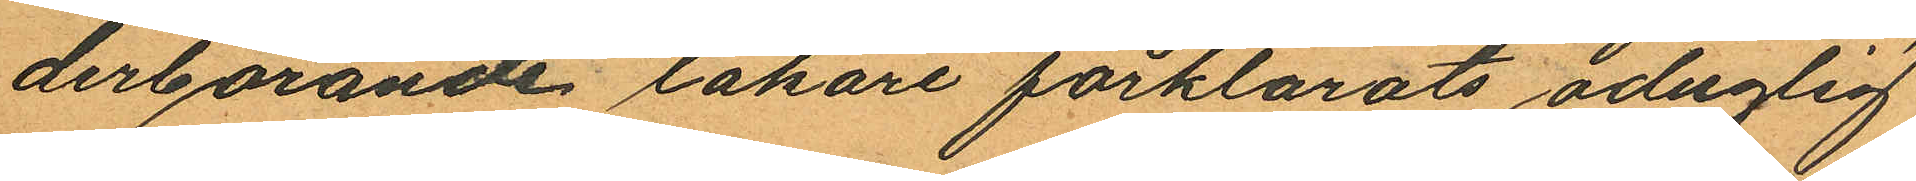derbörande läkare förklarats oduglig
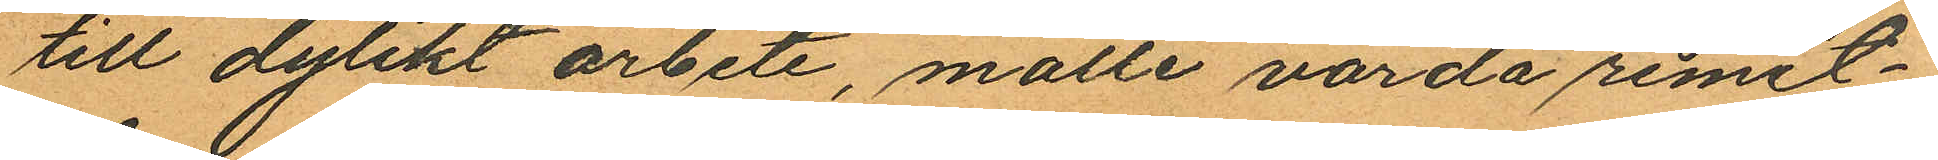till dylikt arbete, måtte varda remit¬
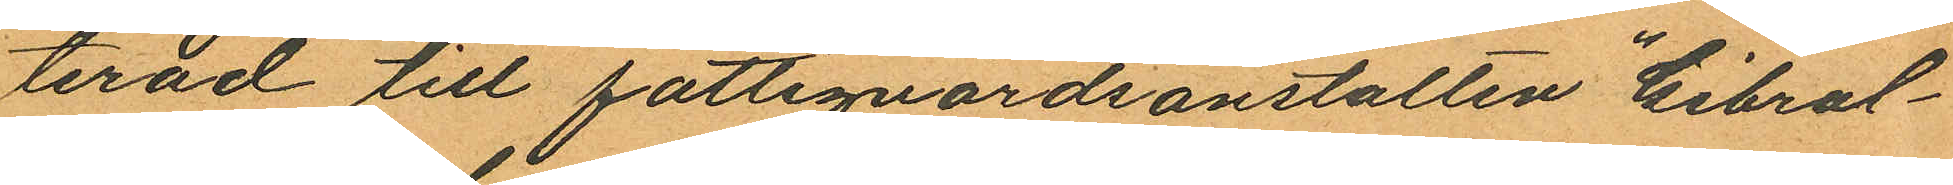terad till fattigvårdsanstalten "Gibral¬
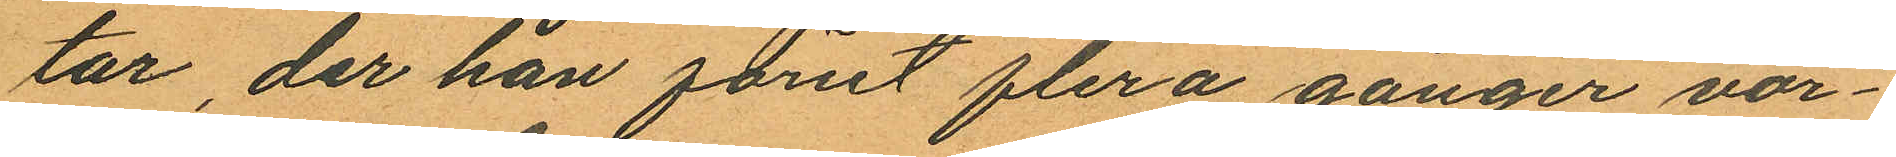tar, der han förut flera gånger vår¬
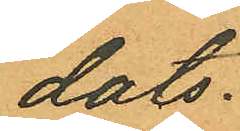dats.
